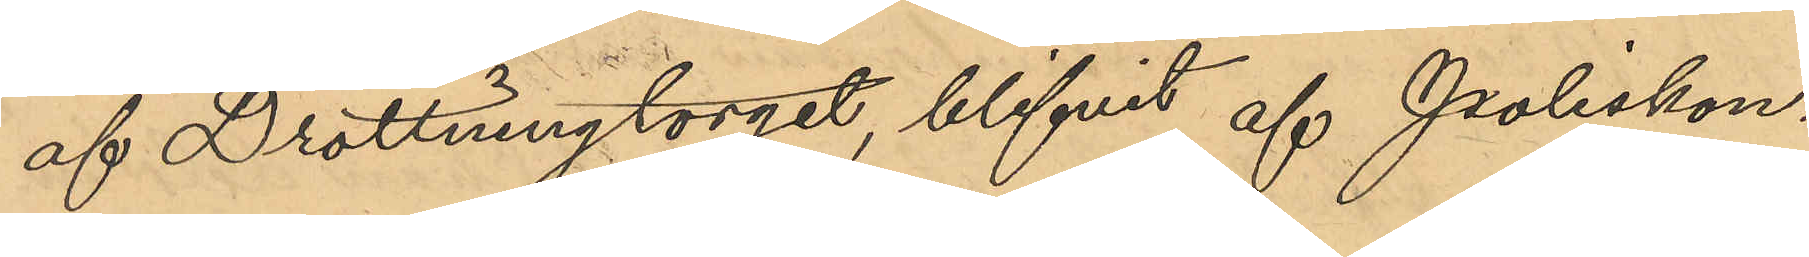af Drottningtorget, blifvit af Poliskon¬
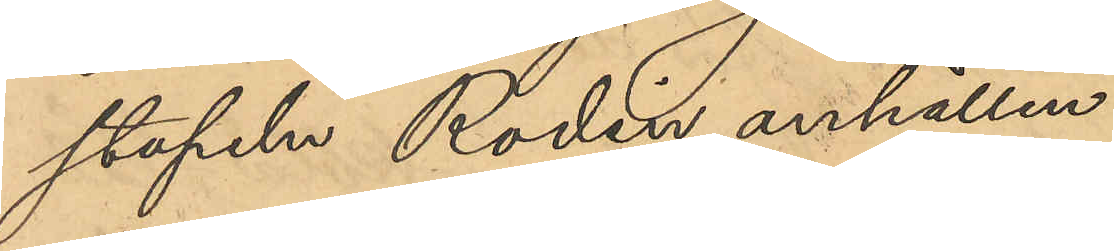stapeln Rodin anhållen.
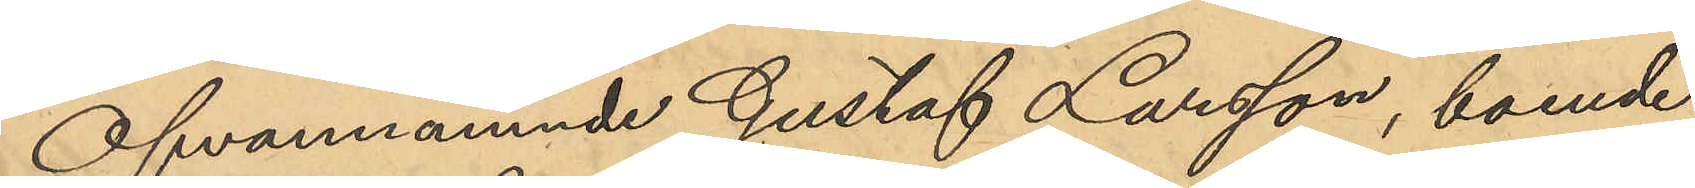Ofvannämnde Gustaf Larsson, boende
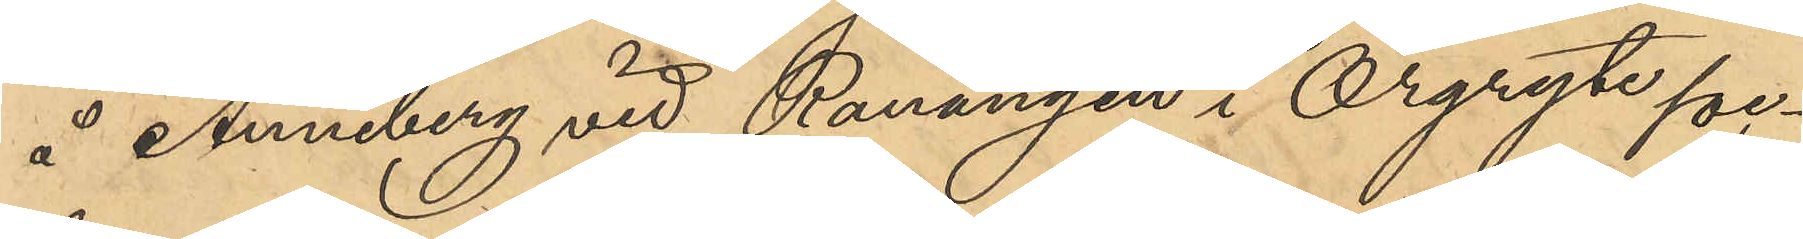å Anneberg vid Ranängen i Örgryte soc¬
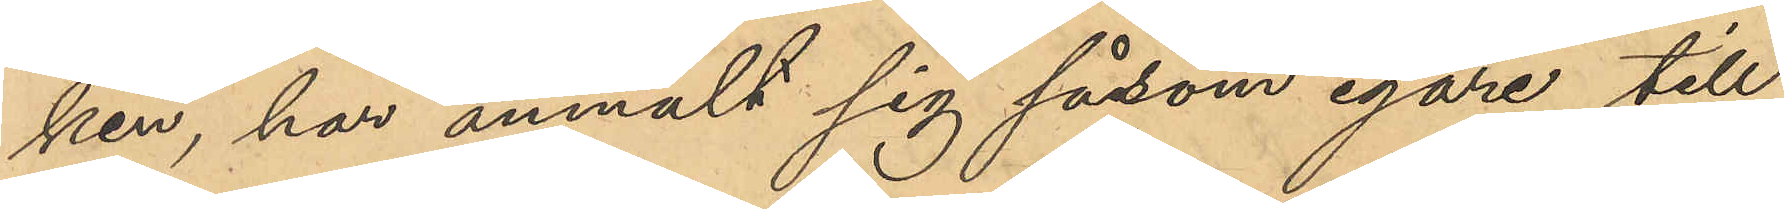ken, har anmält sig såsom egare till
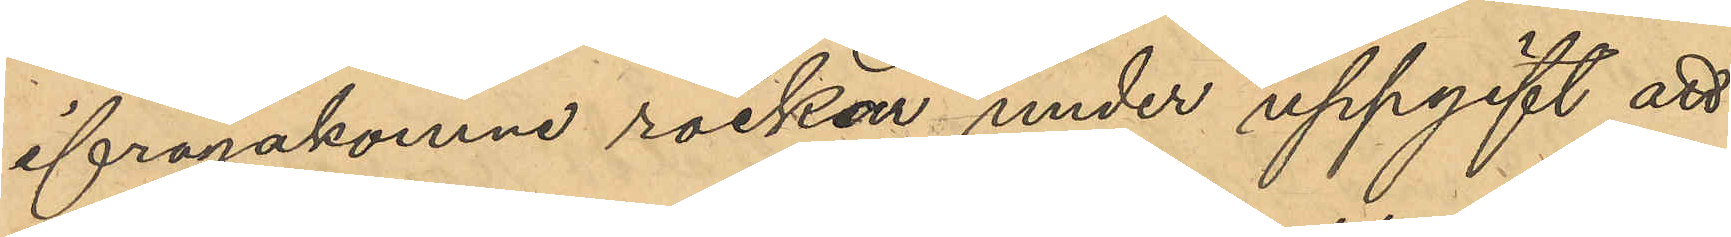ifrågakomne rockar under uppgift att
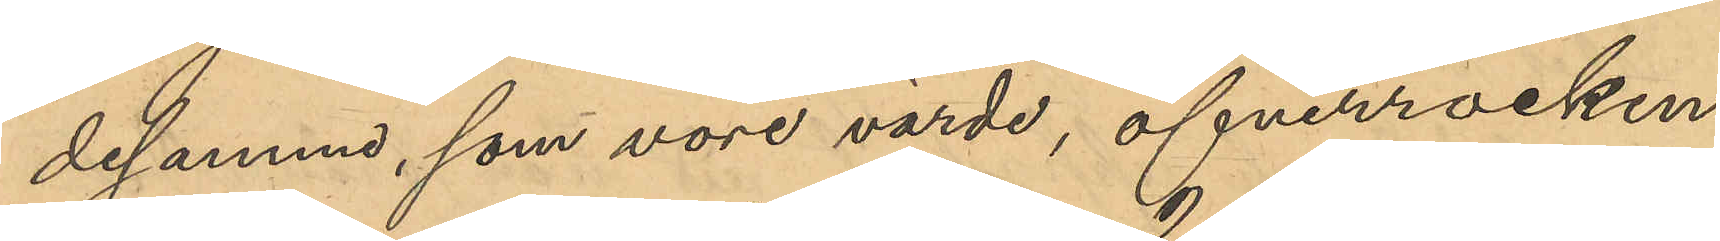desamma, som vore värde, öfverrocken
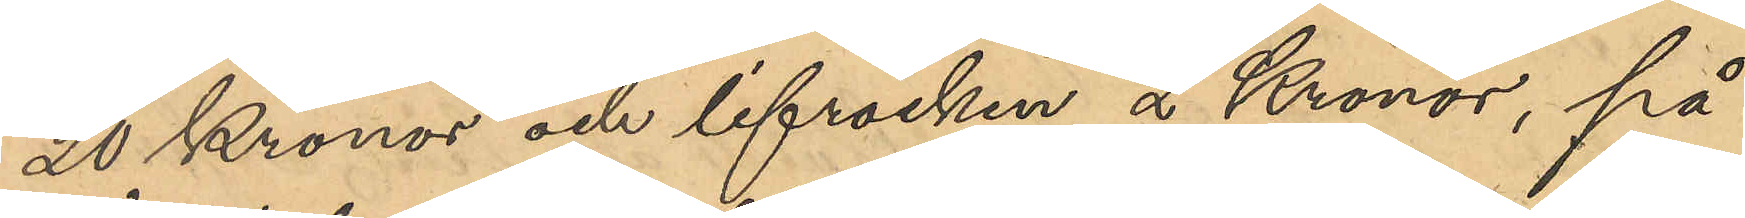20 Kronor och lifrocken 2 Kronor, på
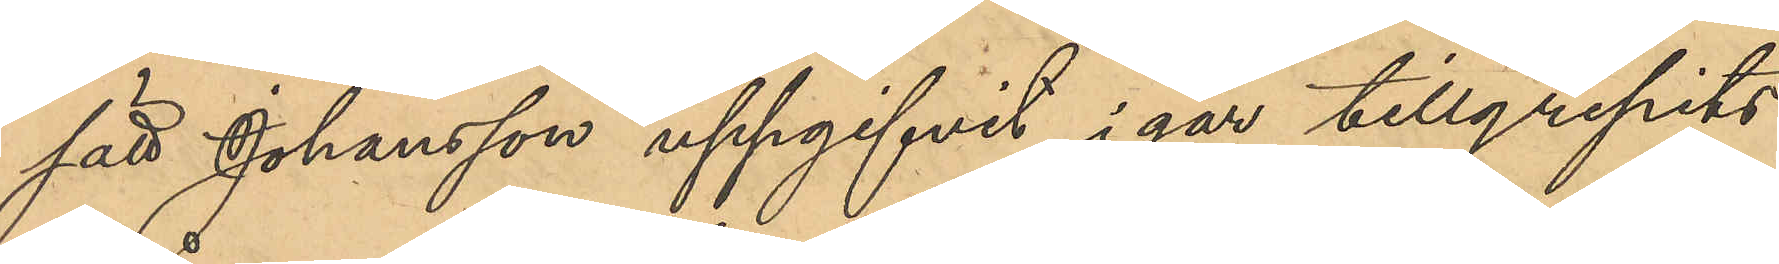sätt Johansson uppgifvit, i går tillgripits
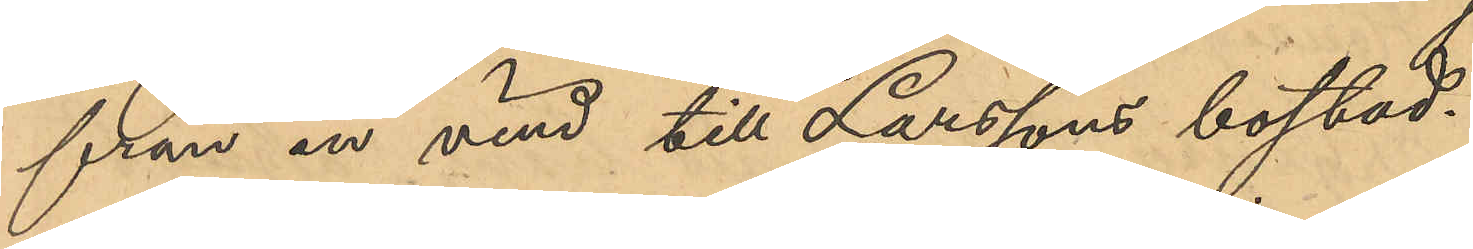från en vind till Larssons bostad.
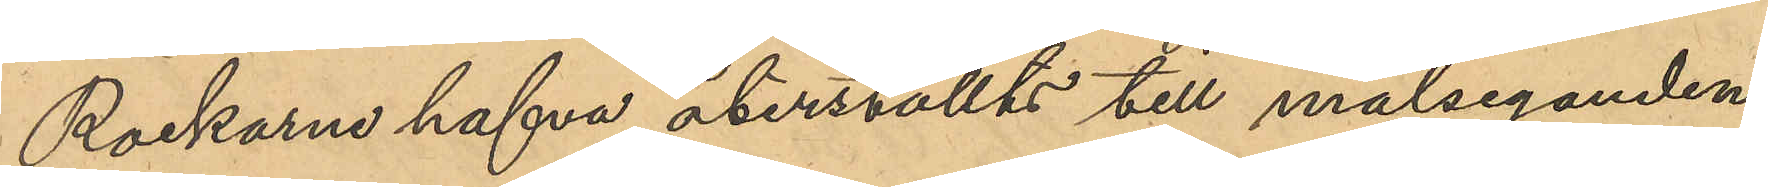Rockarne hafva återställts till målseganden.
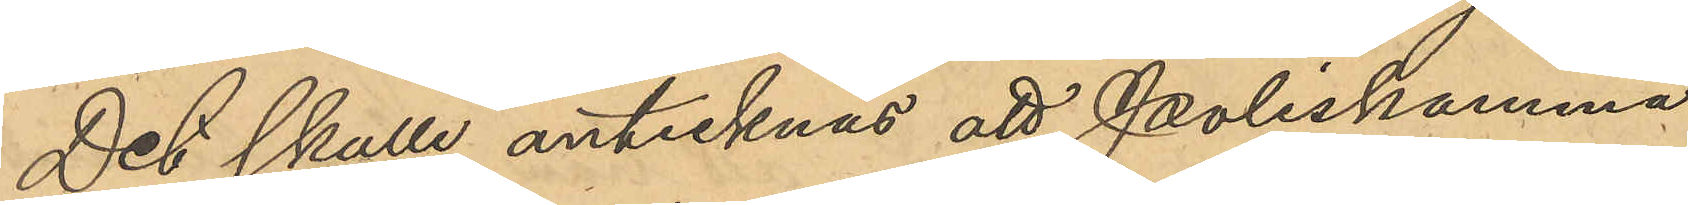Det skulle antecknas att Poliskamma¬
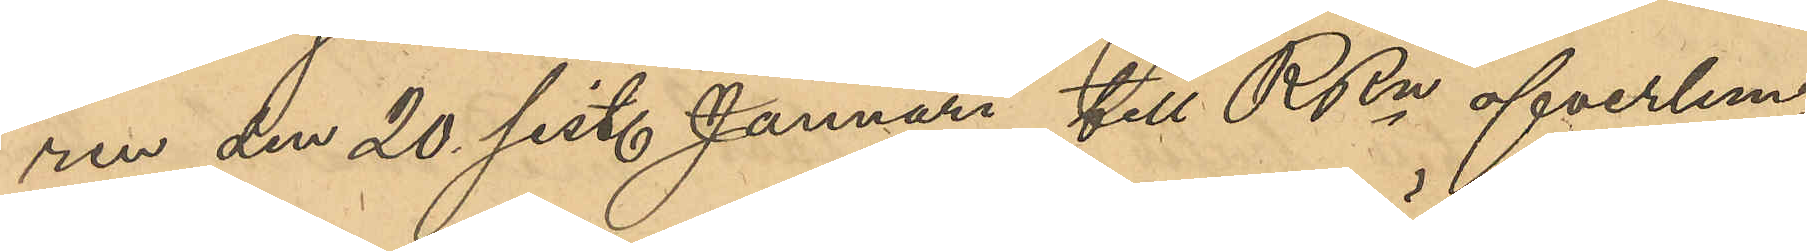ren den 20 sist. Januari till RRn öfverlem¬
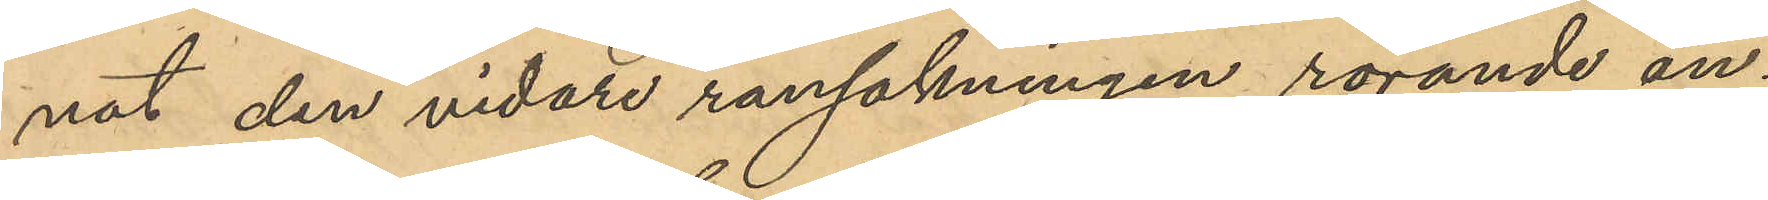nat den vidare ransakningen rörande an¬
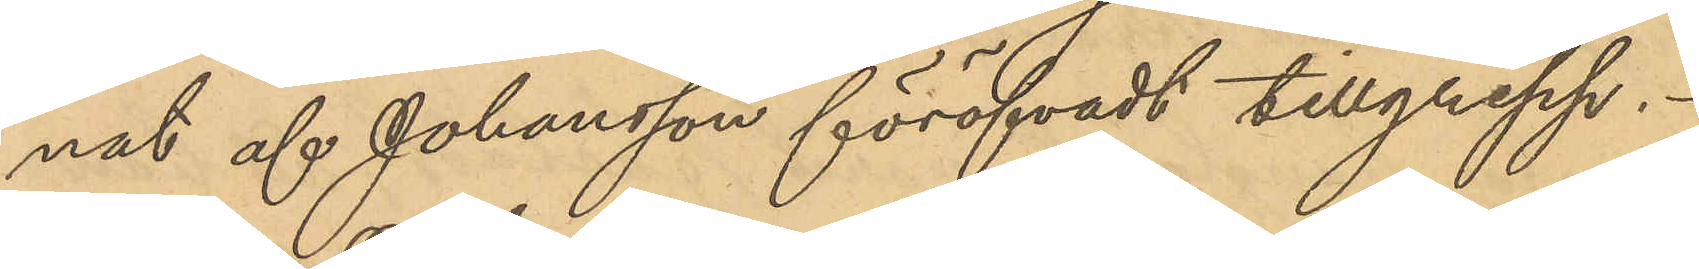nat af Johansson föröfvadt tillgrepp.
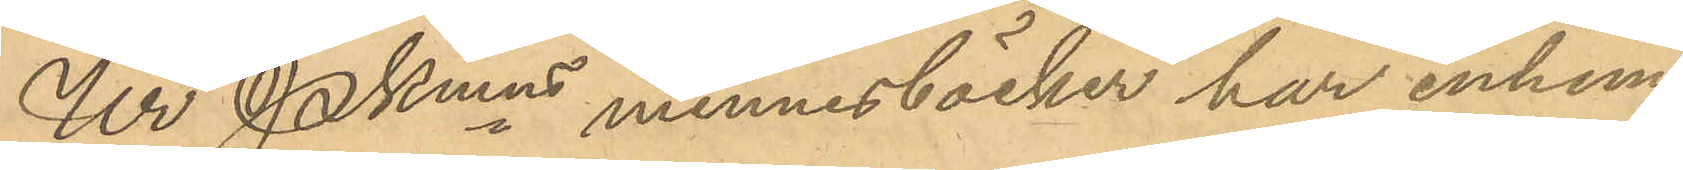Ur Pkmns minnesböcker har inhem¬
